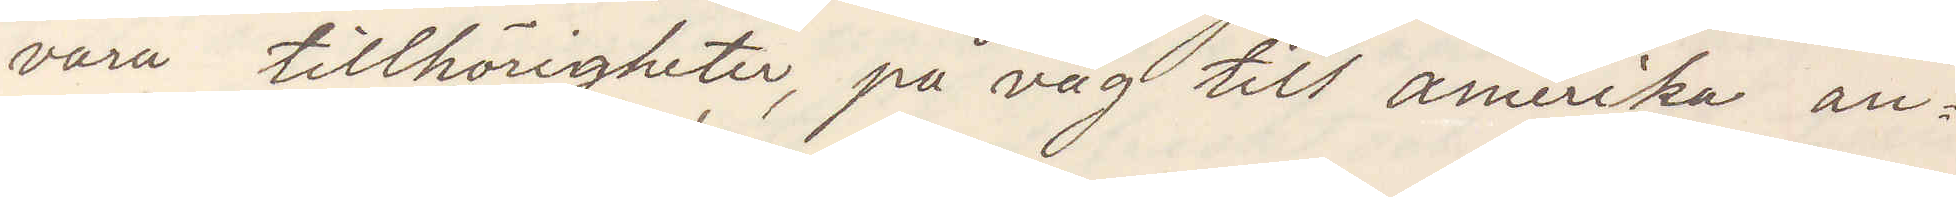våra tillhörigheter på väg till amerika an¬
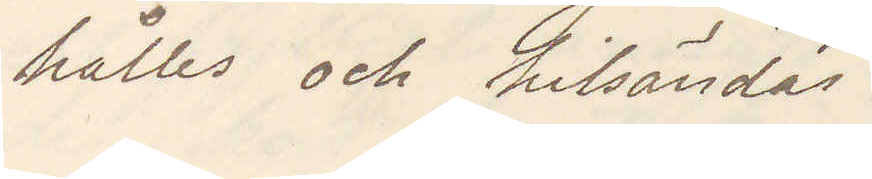hålles och hitsändas.
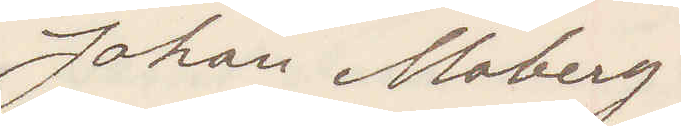Johan Moberg.
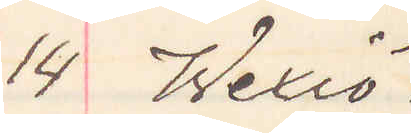14 Wexiö.
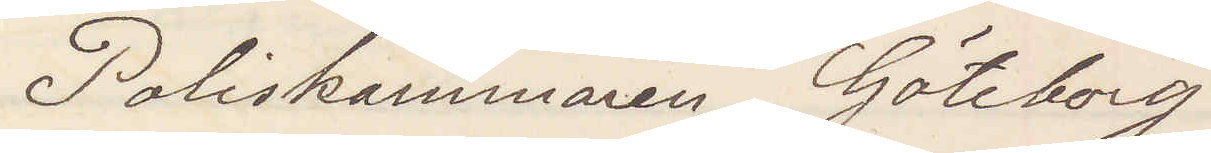Poliskammaren Göteborg
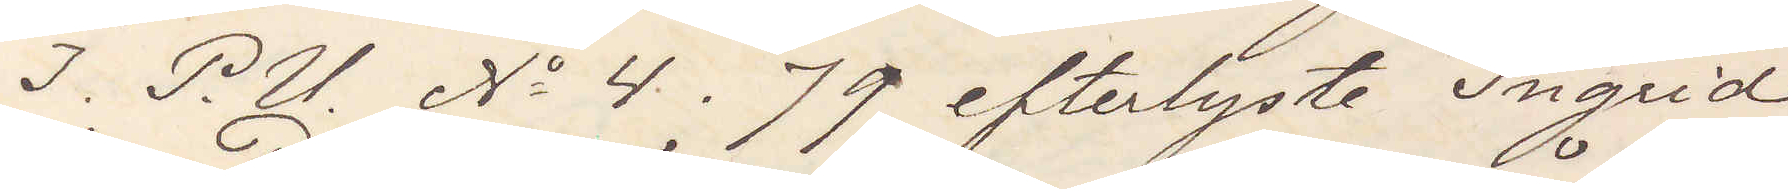I P. U. No 4. 79 efterlyste Ingrid
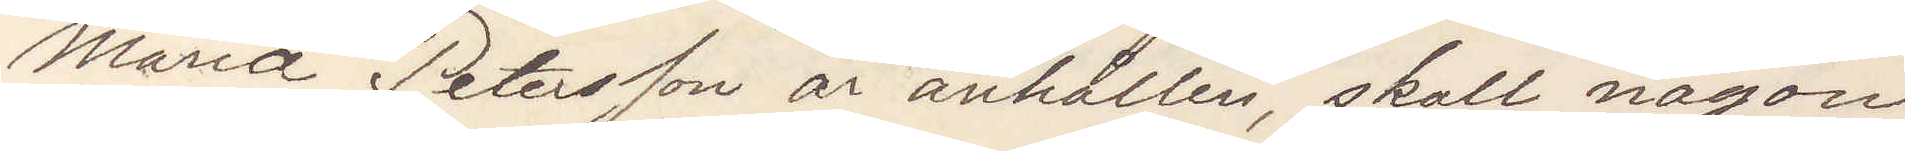Maria Peterson är anhållen, skall någon
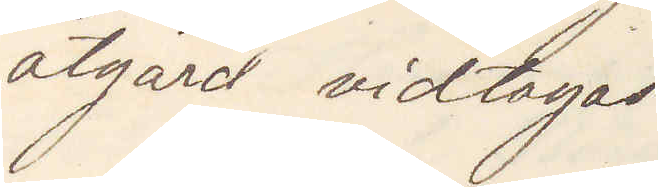åtgärd vidtagas.
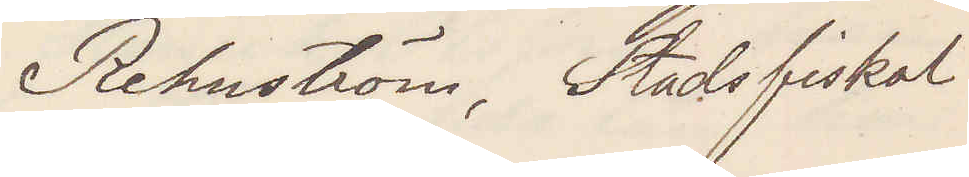Rehnström, Stadsfiskal
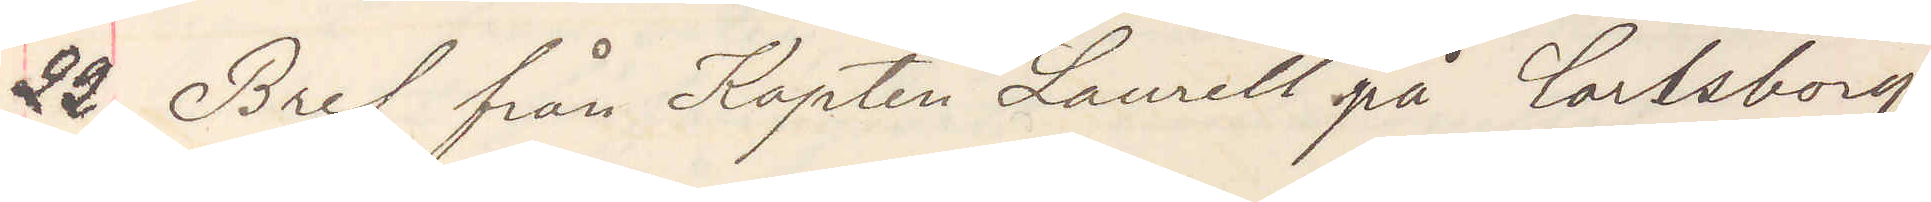22 Bref från Kapten Laurell på Carlsborg
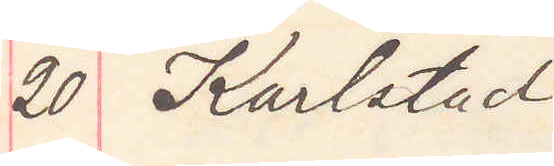20 Karlstad
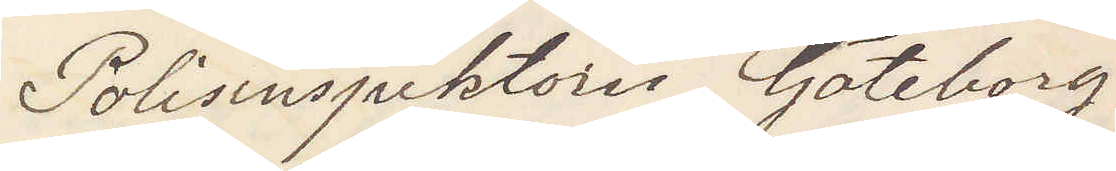Polisinspektorn Göteborg
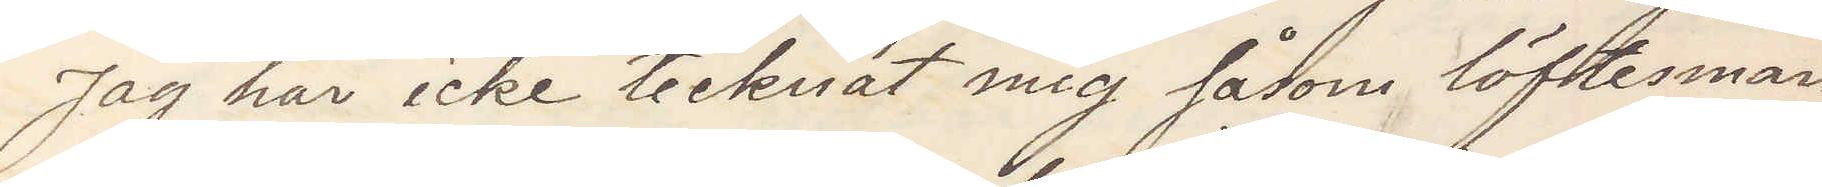Jag har icke tecknat mig såsom löftesman
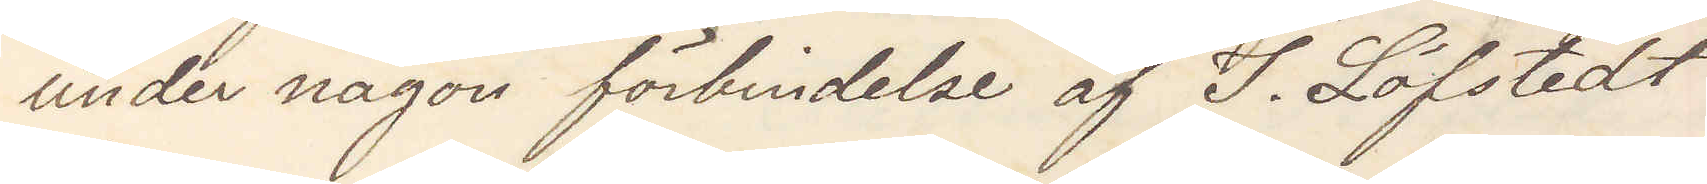under någon förbindelse af I. Löfstedt
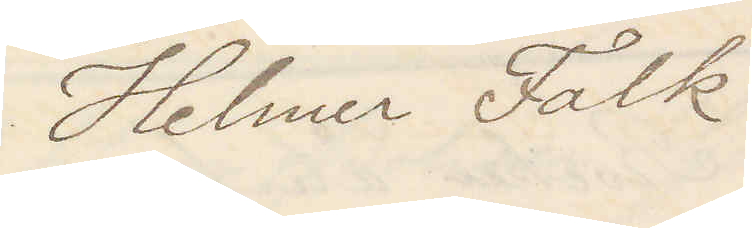Helmer Falk
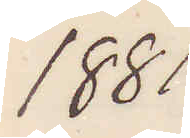1881
